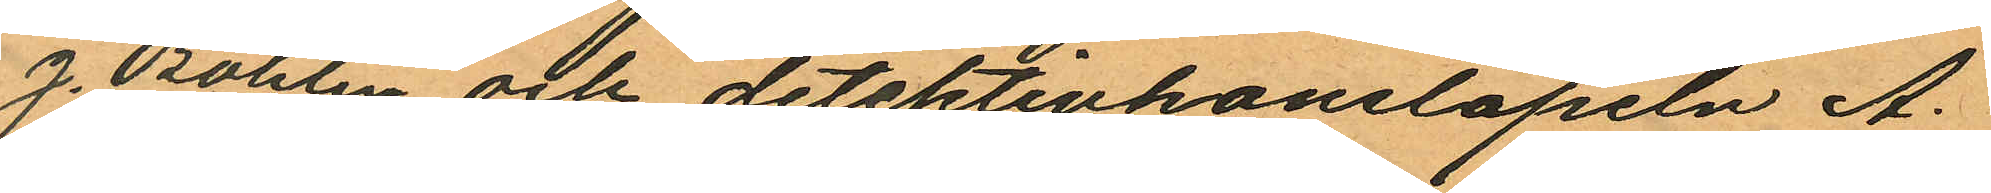J. Bohlin och detektivkonstapeln A.
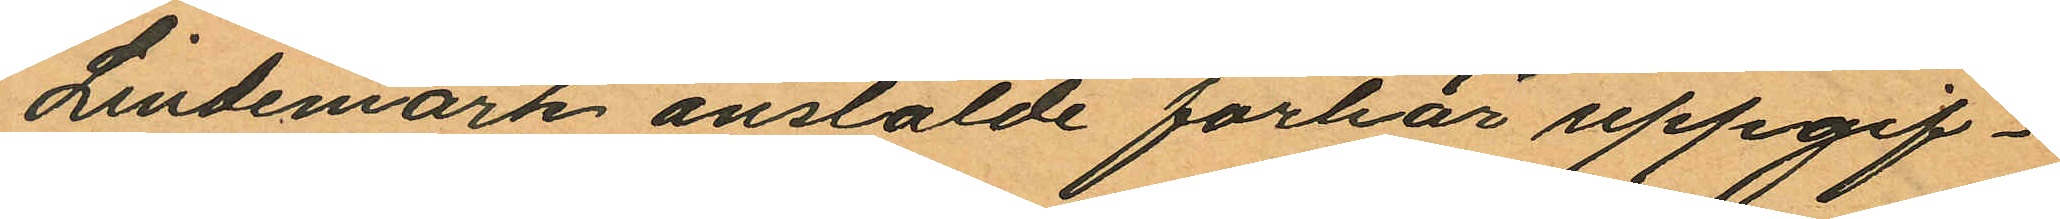Lindemark anstälde förhör uppgif¬
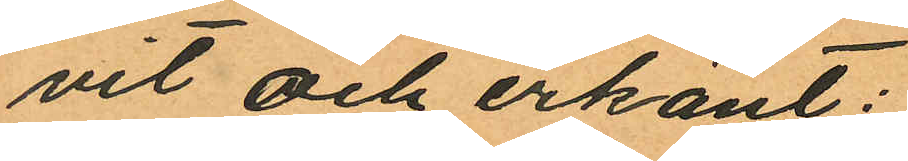vit och erkänt:
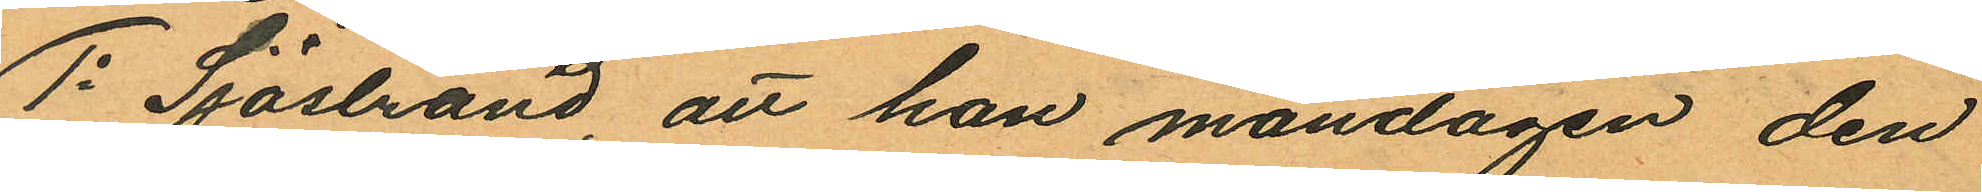1o Sjöstrand, att han måndagen den
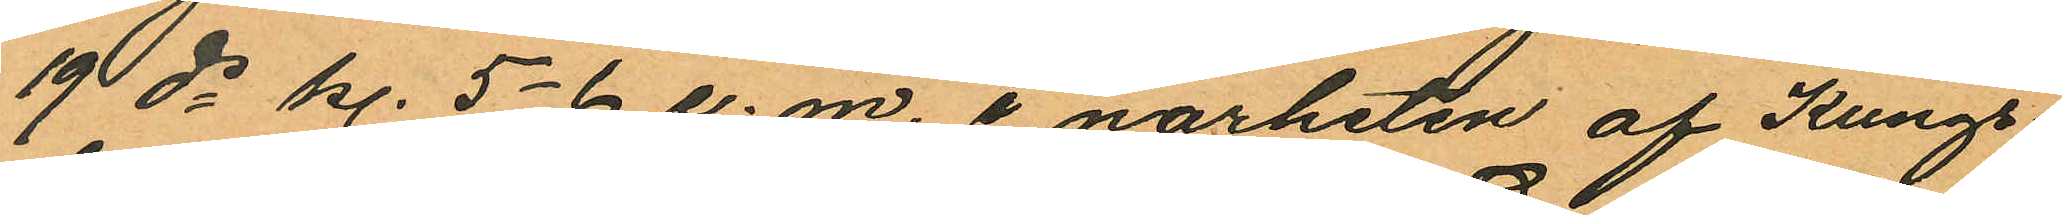19 ds kl. 5-6 e. m. i närheten af Kungs¬
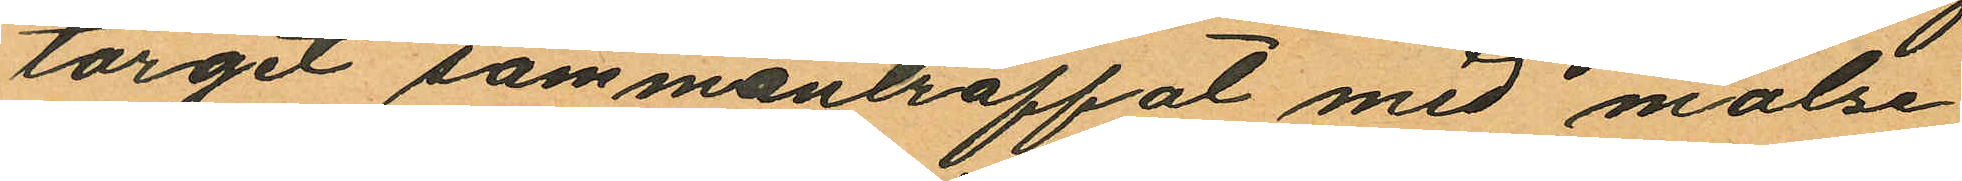torget sammanträffat med målse¬
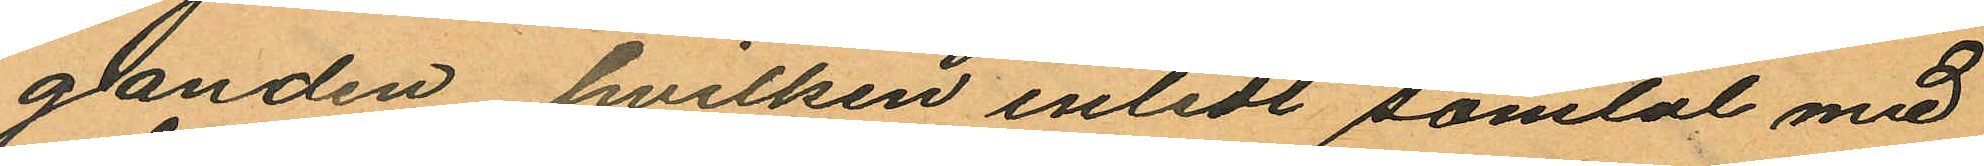ganden hvilken inledt samtal med
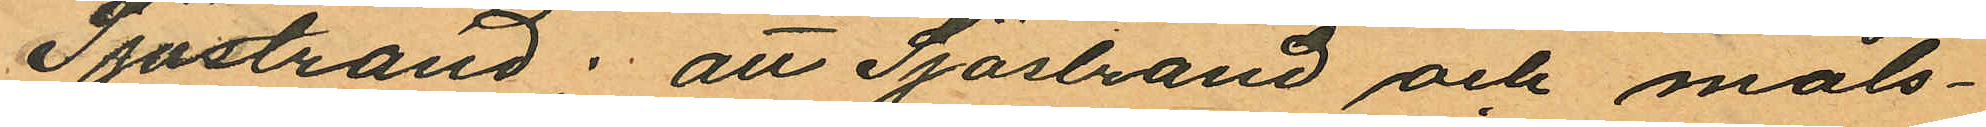Sjöstrand; att Sjöstrand och måls¬
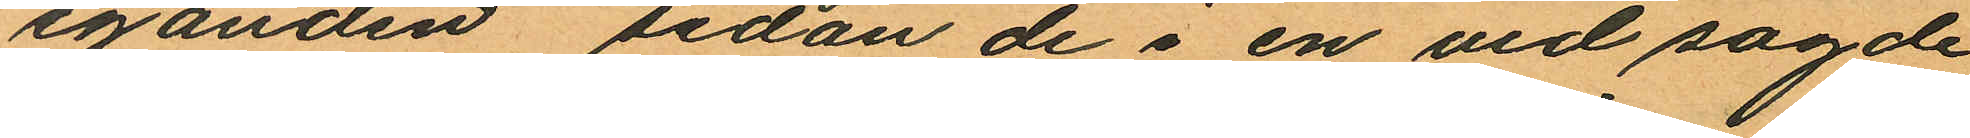eganden sedan de i en vid sagde
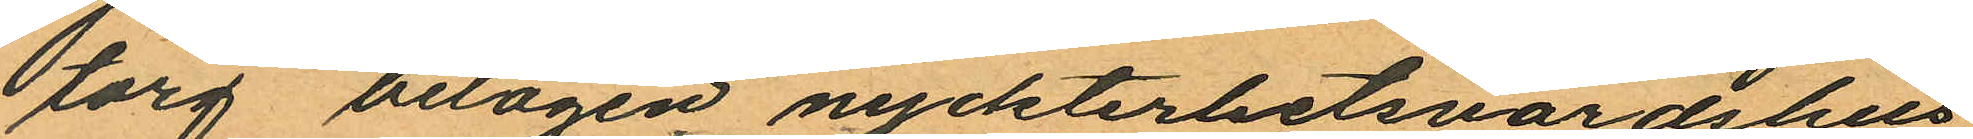torg belägen nyckterhetsvärdshus
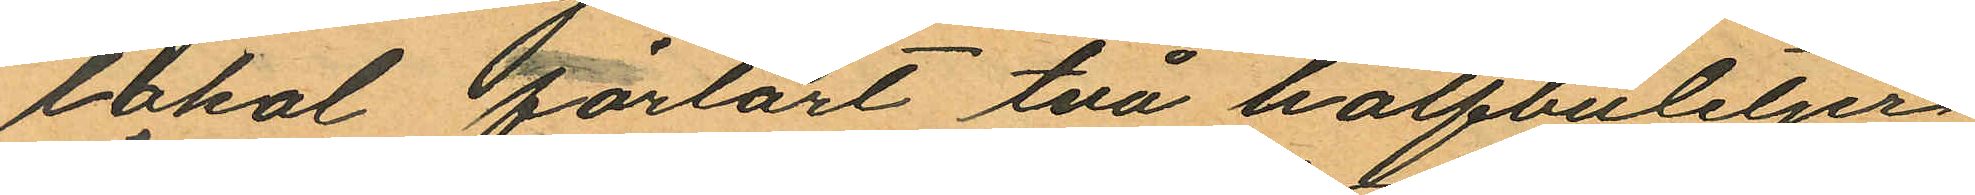lokal förtärt två halfbuteljer
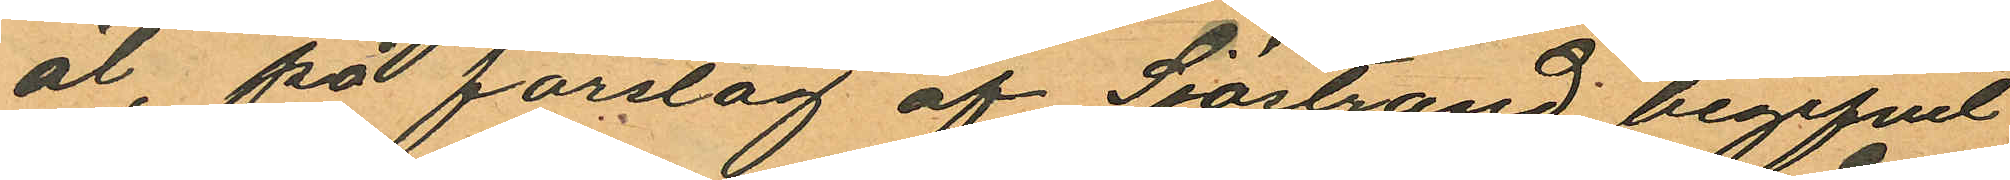öl, på förslag af Sjöstrand begifvit
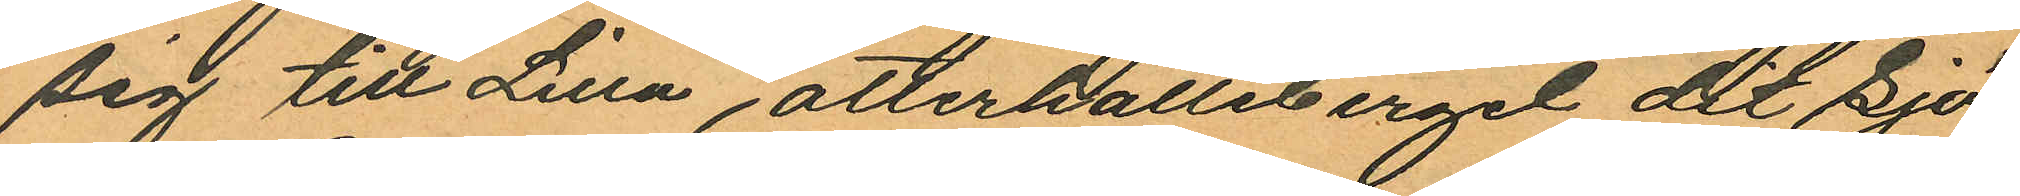sig till Lilla otterhälleberget dit Sjö¬
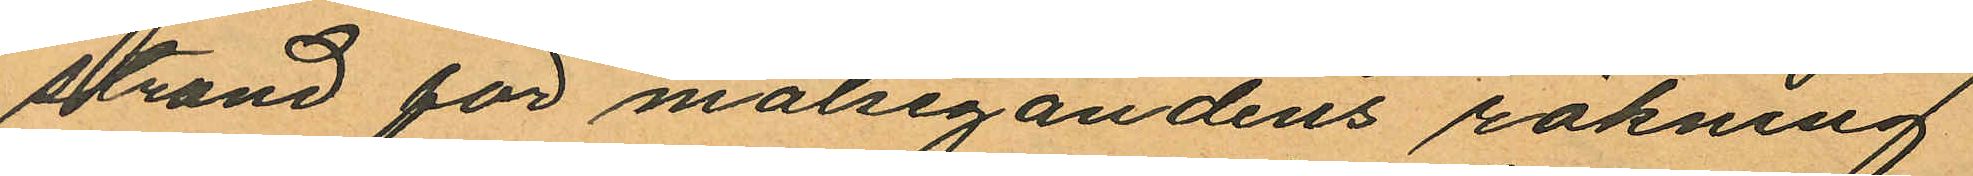strand för målsegandens räkning
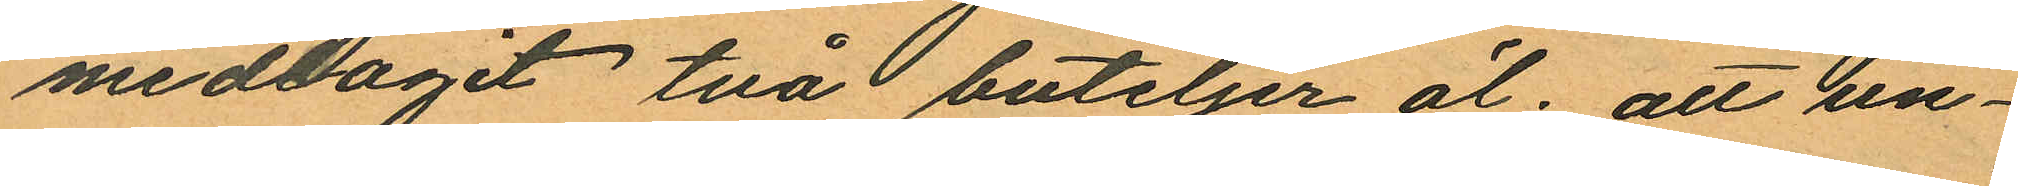medtagit två buteljer öl; att un¬
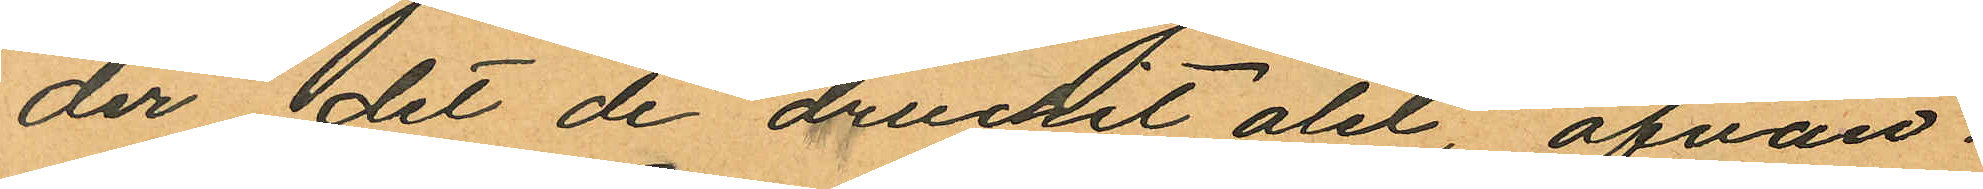der det de druckit ölet, ofvan
